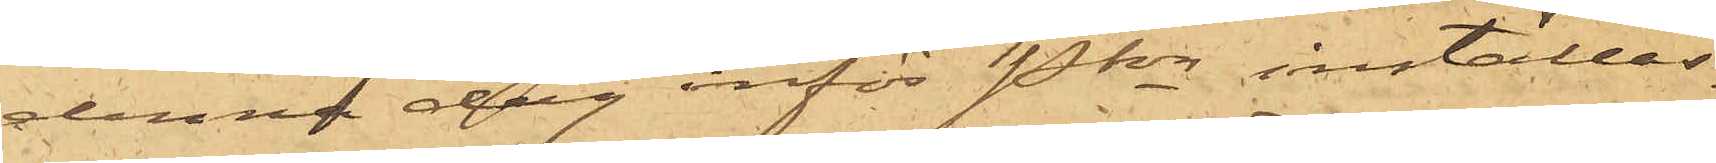denna dag inför Pkn inställas.
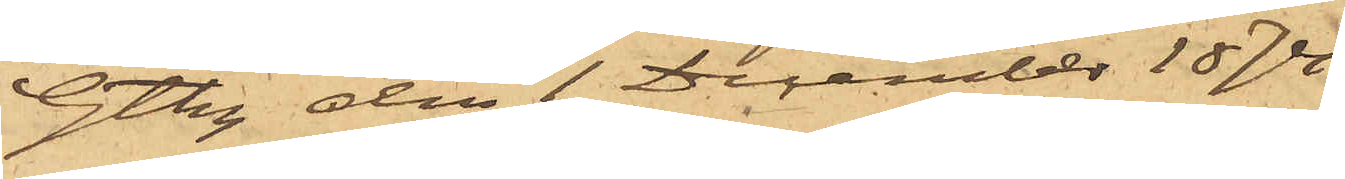Gtbg den 1 December 1874.
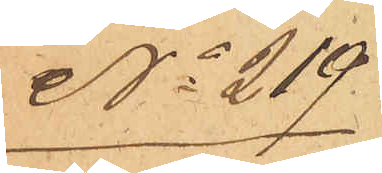No 219
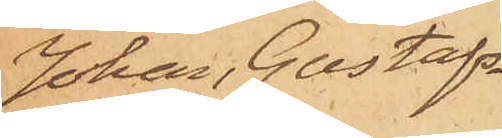Johan Gustafs¬
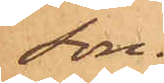son.
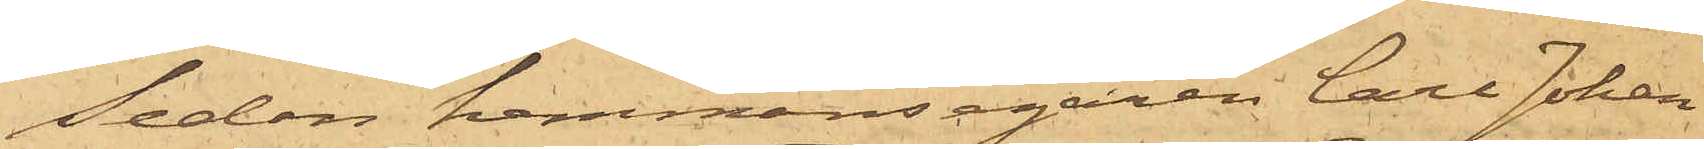Sedan hemmansegaren Carl Johan
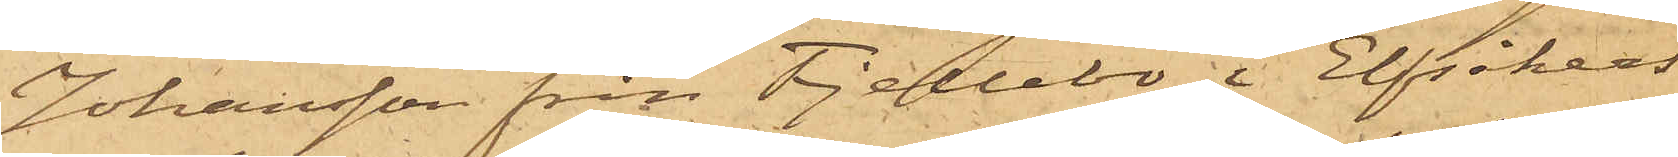Johansson från Fjellebo i Elfsåkers
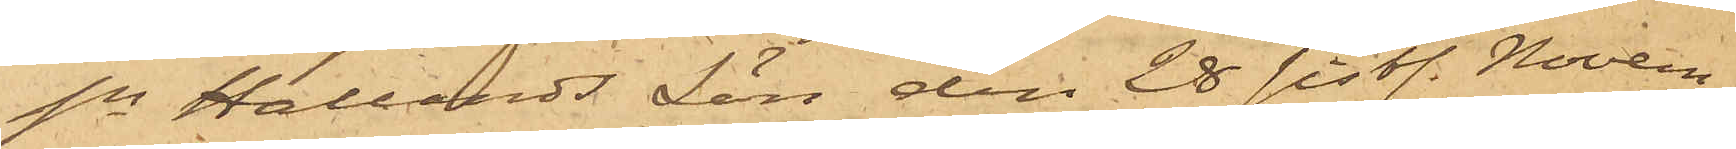sn Hallands Län den 28 sist. Novem¬
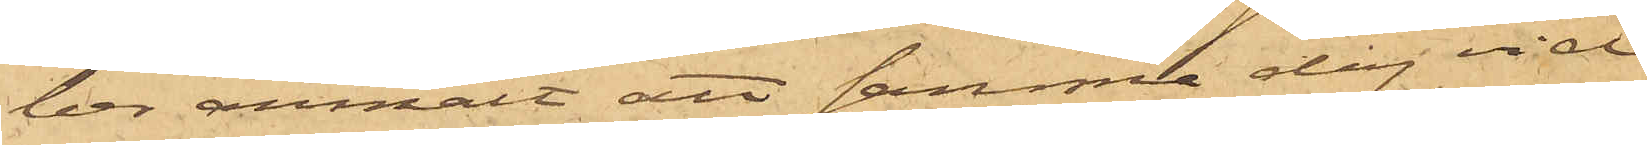ber anmält att samma dag vid
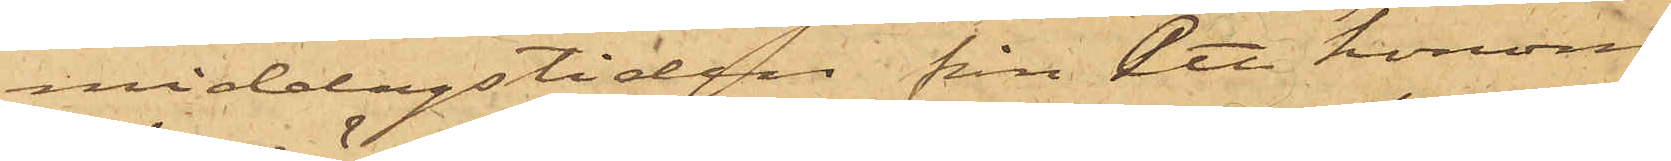middagstiden från ett honom
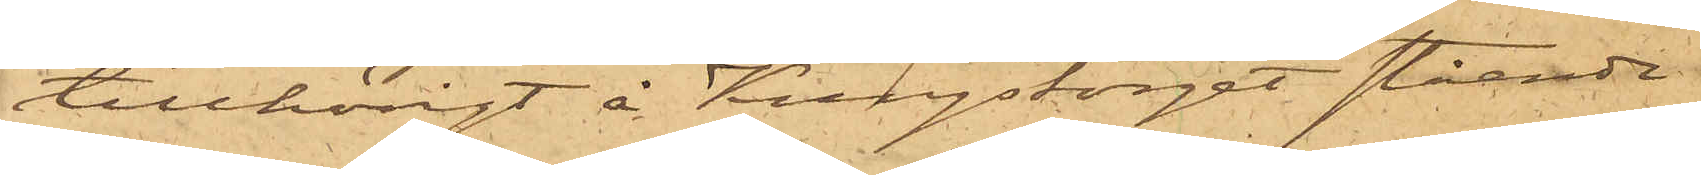tillhörigt å Kungstorget stående
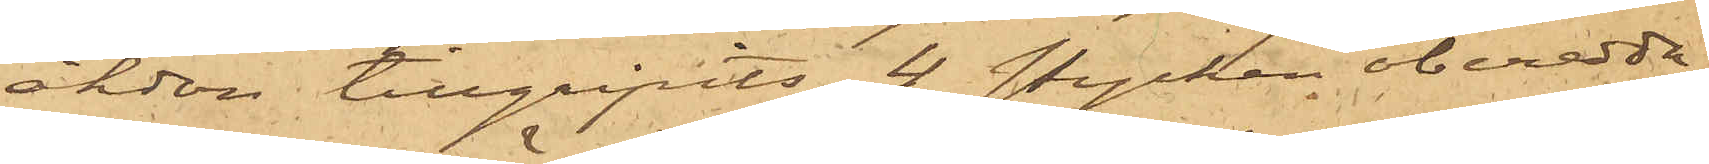åkdon tillgripits 4 stycken oberedda
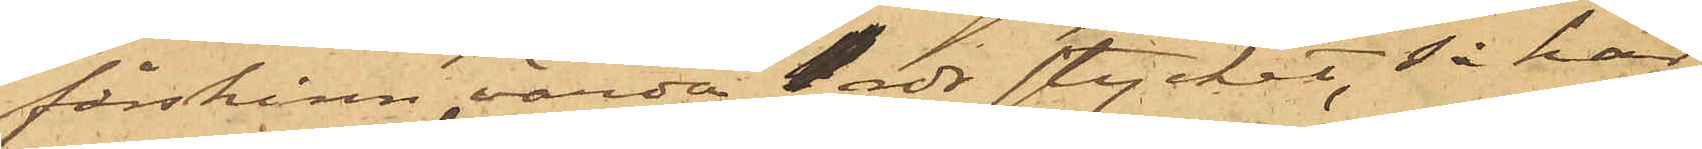fårskinn värda 1 rdr stycket, så har
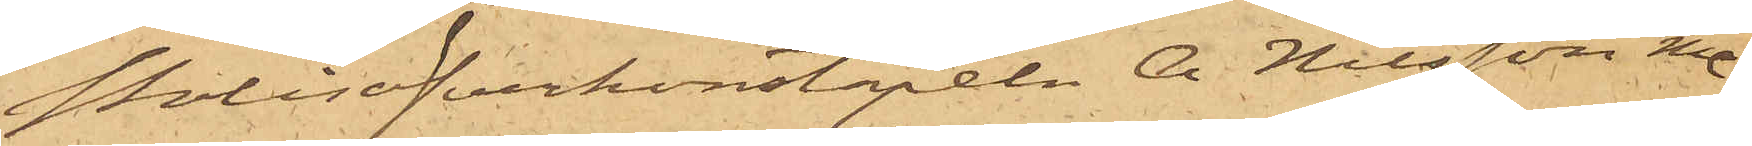Polisöfverkonstapeln A Nilsson o¬
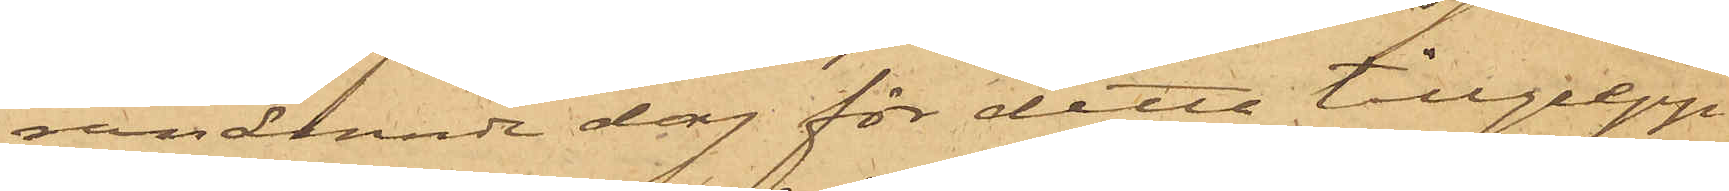fvanämnde dag för detta tillgrepp
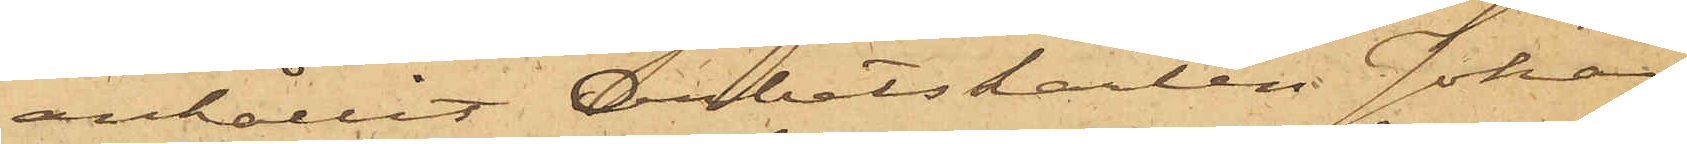anhållit Arbetskarlen Johan
